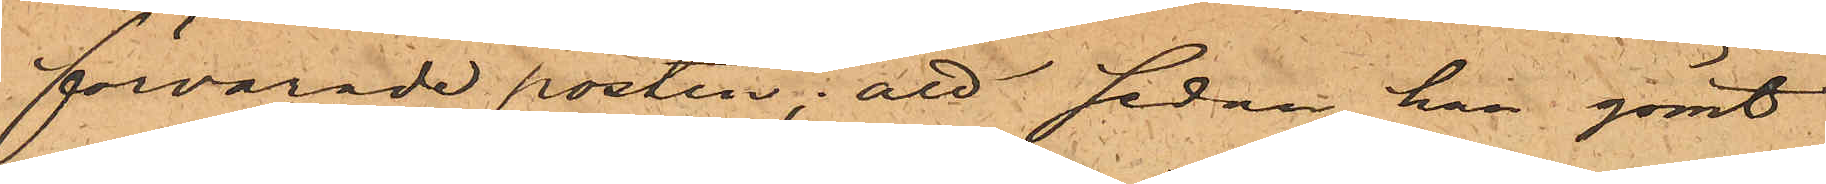förvarade posten; att sedan han gömt
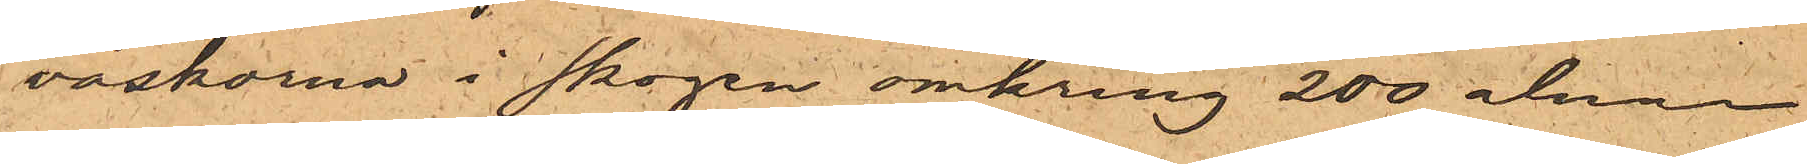väskorna i skogen omkring 200 alnar
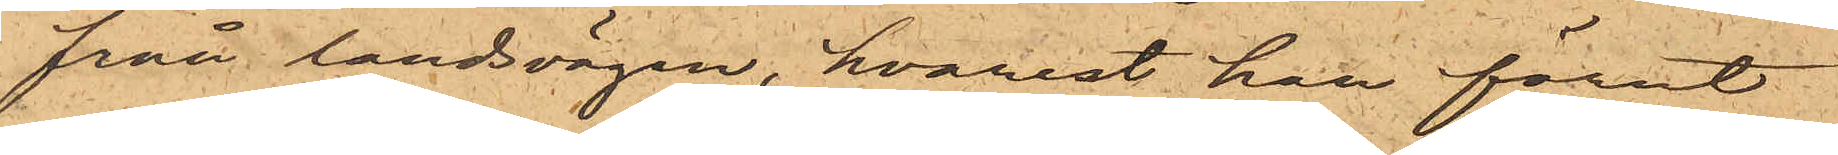från landsvägen, hvarest han förut
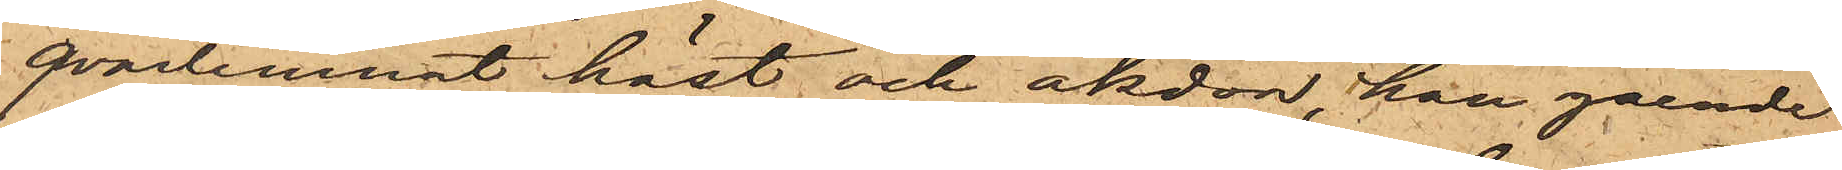qvarlemnat häst och åkdon, han gående
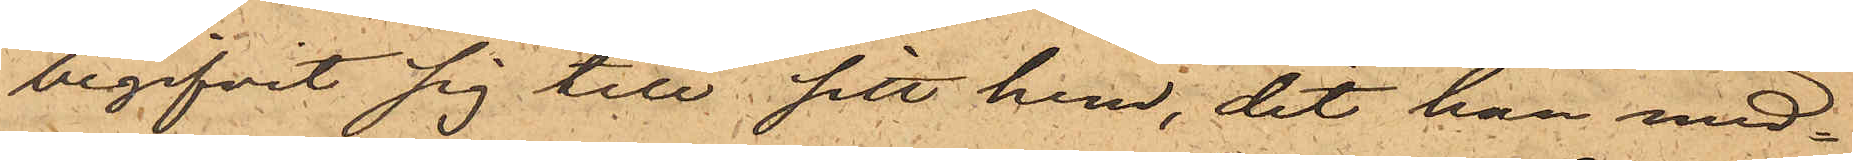begifvit sig till sitt hem, dit han med¬
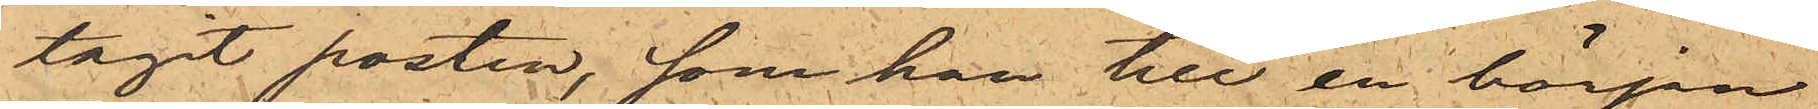tagit posten, som han till en början
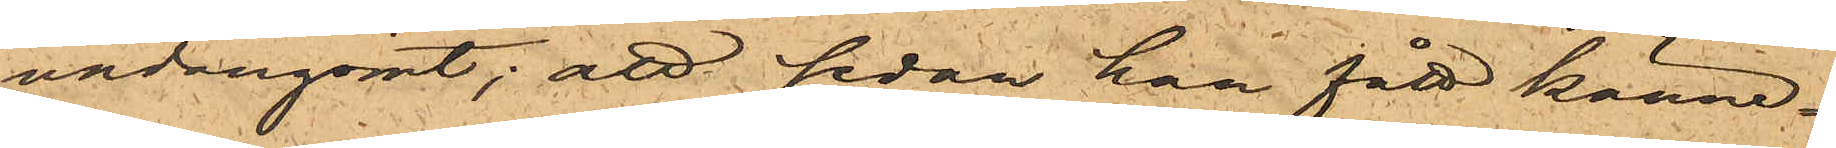undangömt; att sedan han fått känne¬
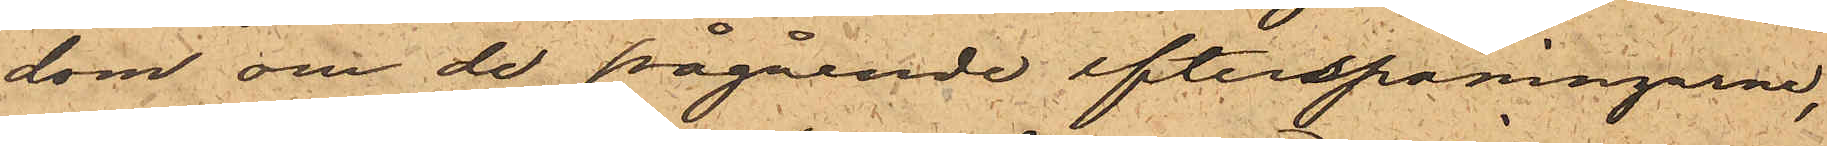dom om de pågående efterspaningarne,
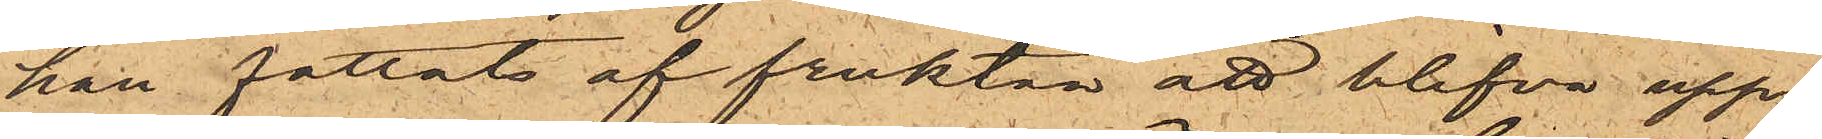han fattats af fruktan att blifva upp¬
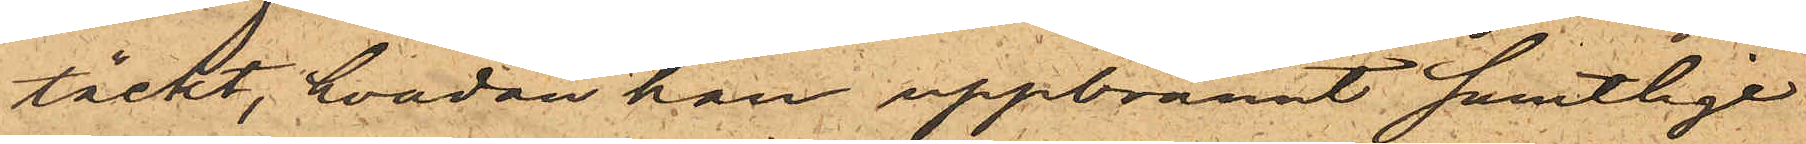täckt, hvadan han uppbrännt samtlige
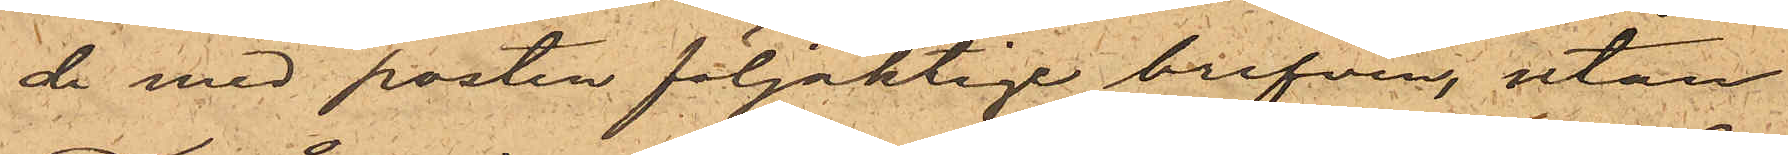de med posten följaktige brefven, utan
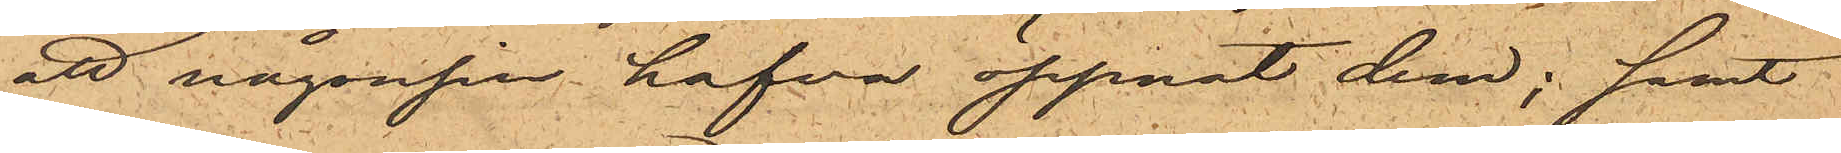att någonsin hafva öppnat dem; samt
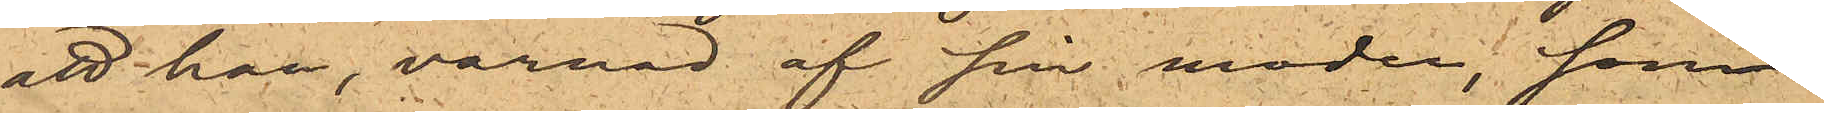att han, varnad af sin moder, som
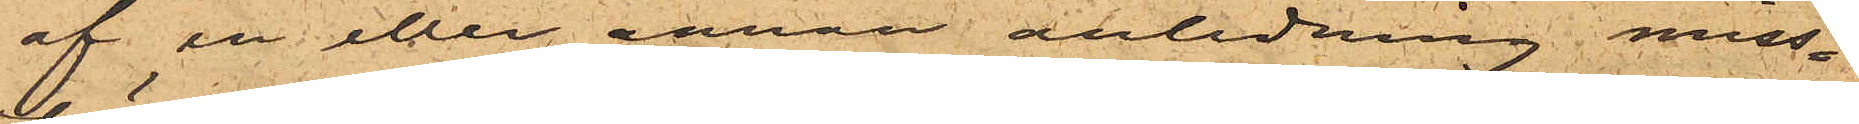af en eller annan anledning miss¬
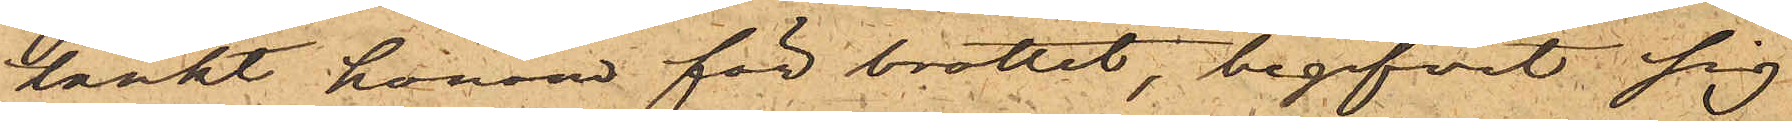tänkt honom för brottet, begifvit sig
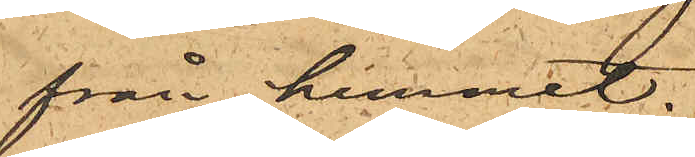från hemmet.
